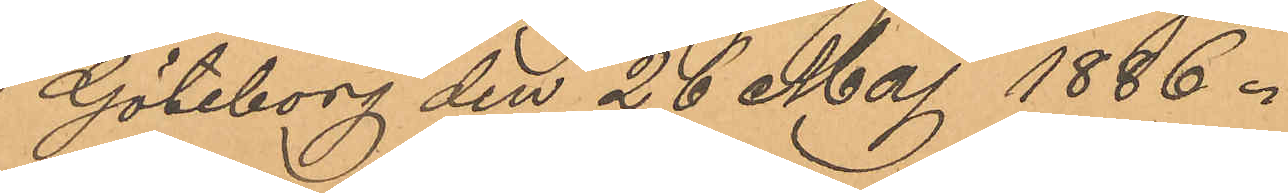Göteborg den 26 Maj 1886.
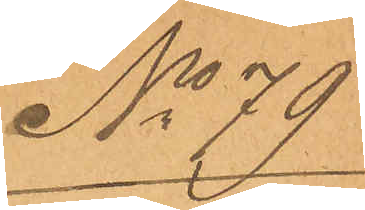No 77
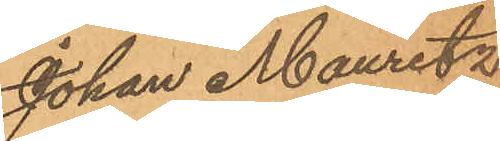Johan Mauritz
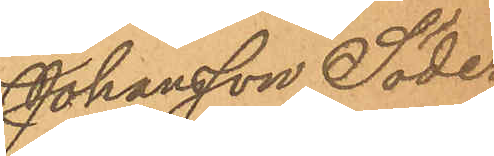Johansson Söder¬
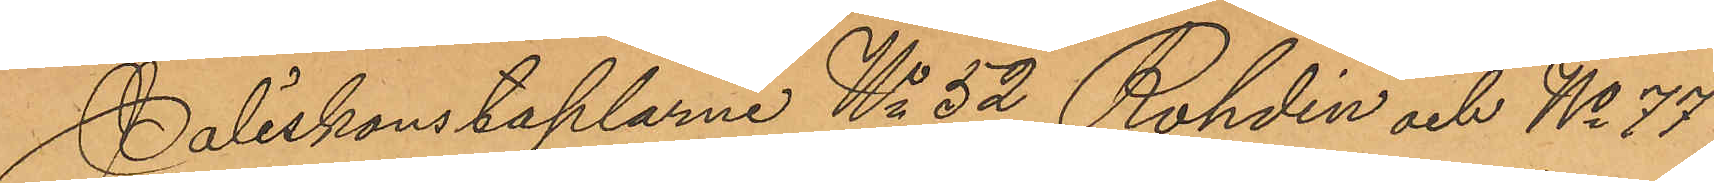Poliskonstaplarne No 52 Rohdin och No 77
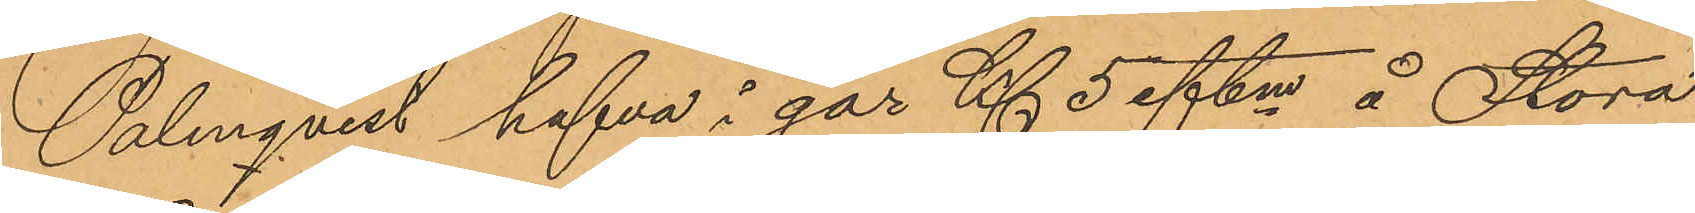Palmqvist hafva i går Kl 5 eftm å Stora
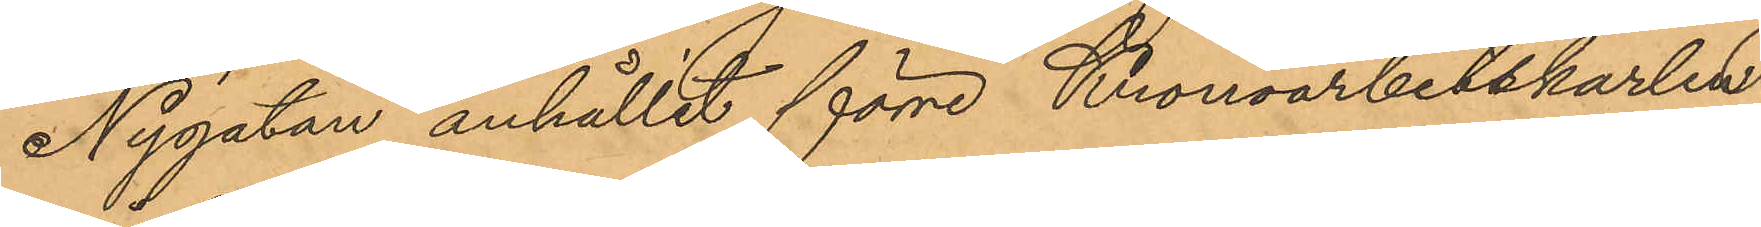Nygatan anhållit förre Kronoarbetskarlen
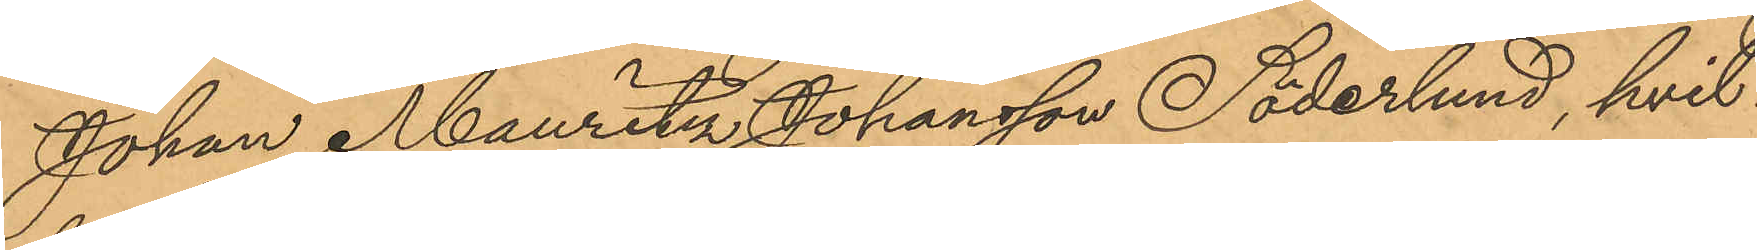Johan Mauritz Johansson Söderlund, hvil¬
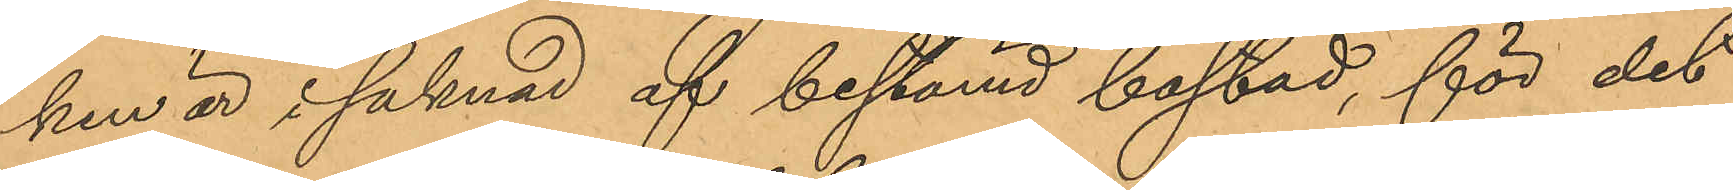ken är i saknad af bestämd bostad, för det
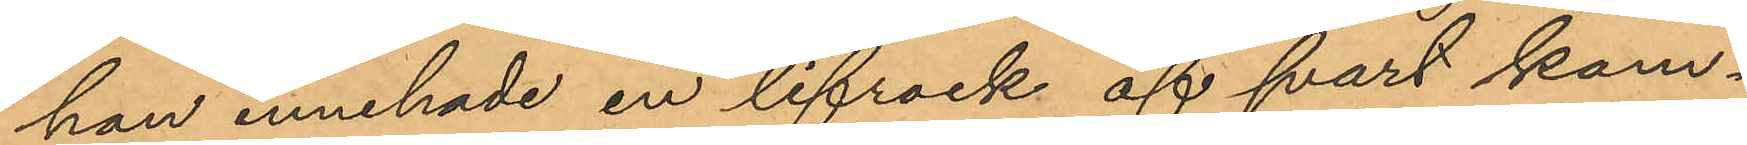han innehade en lifrock af svart kam¬
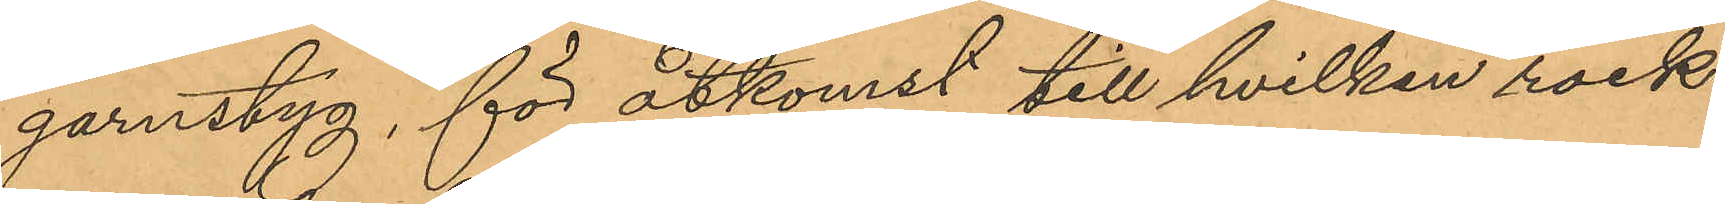garnstyg, för åtkomst till hvilken rock
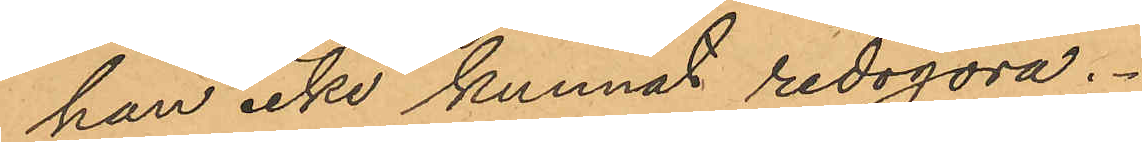han icke kunnat redogöra.
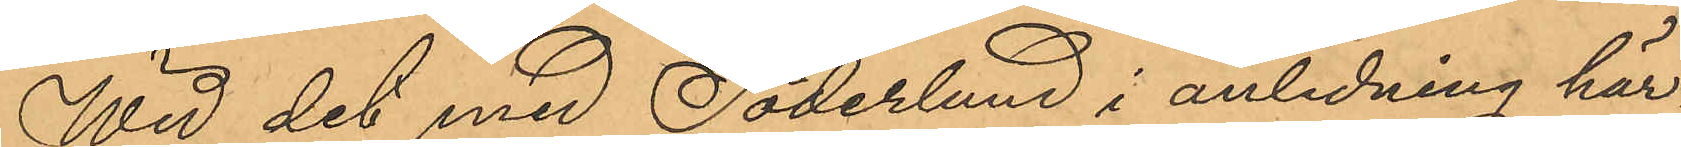Wid det med Söderlund i anledning här¬
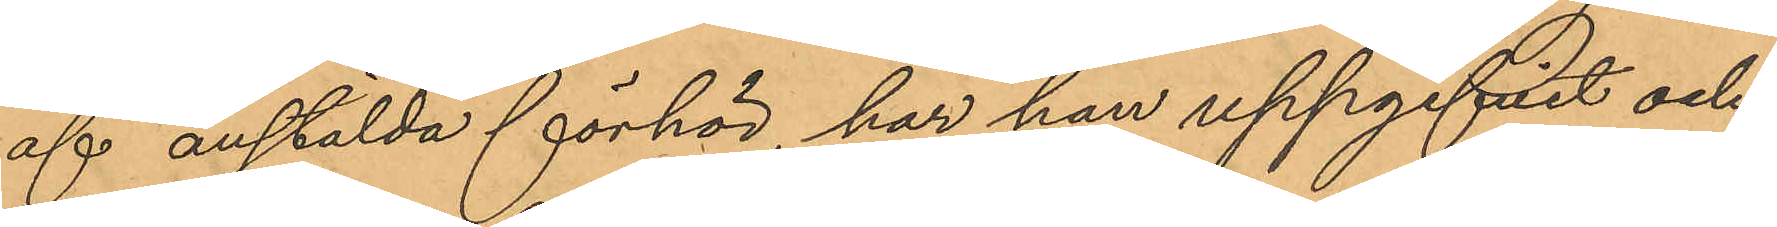af anstälda förhör, har han uppgifvit och
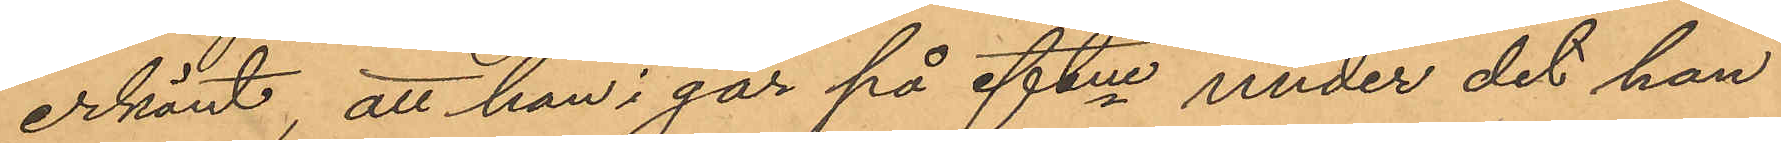erkänt, att han i går på eftm under det han
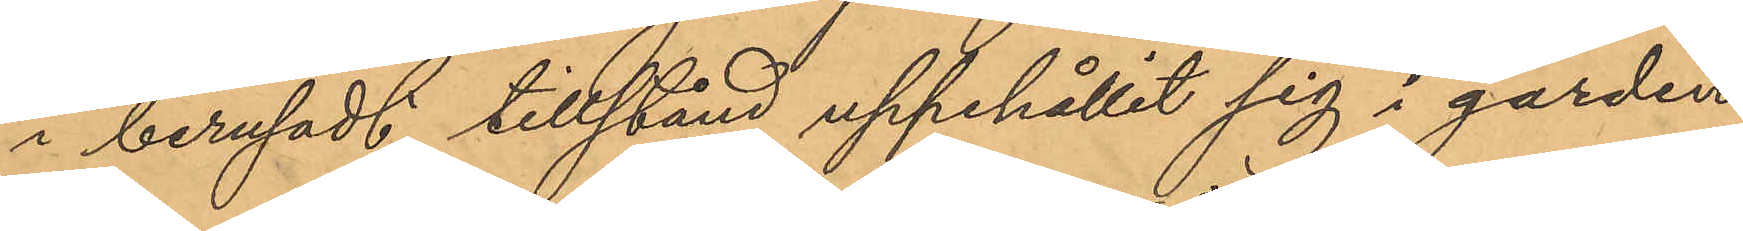i berusadt tillstånd uppehållit sig i gården
